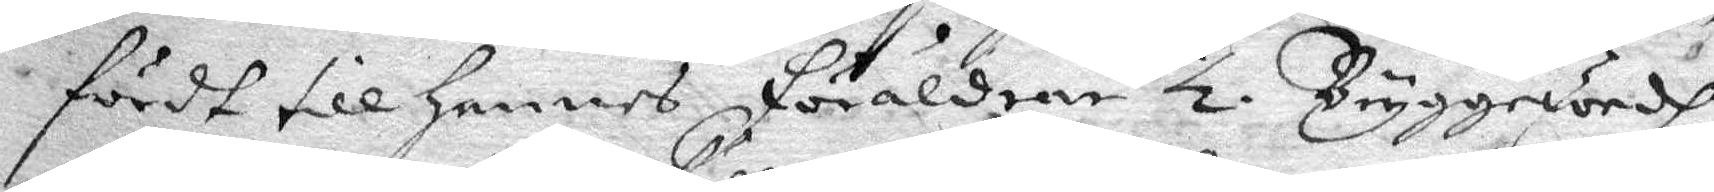fördt till Hennes föräldrar ½ Bryggewördh
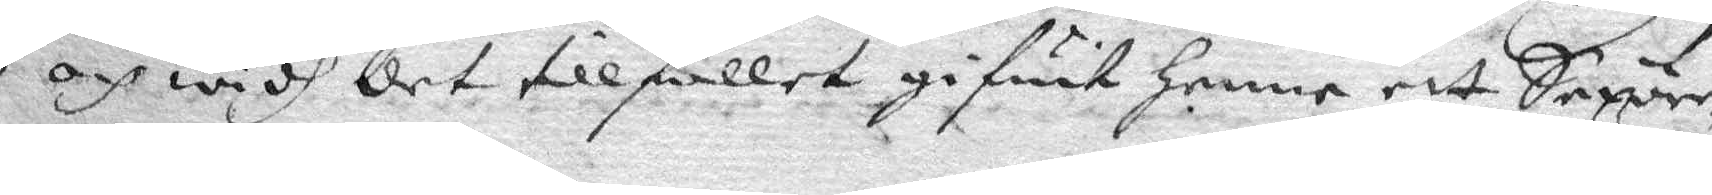och widh det tillfället gifwit Henne ett Sexöre
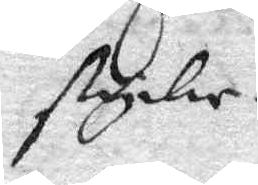stycke.
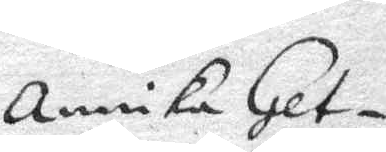Annika Get¬
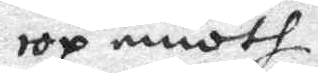rop emoth
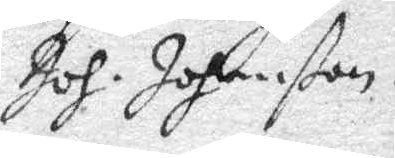Joh. Johanßon.
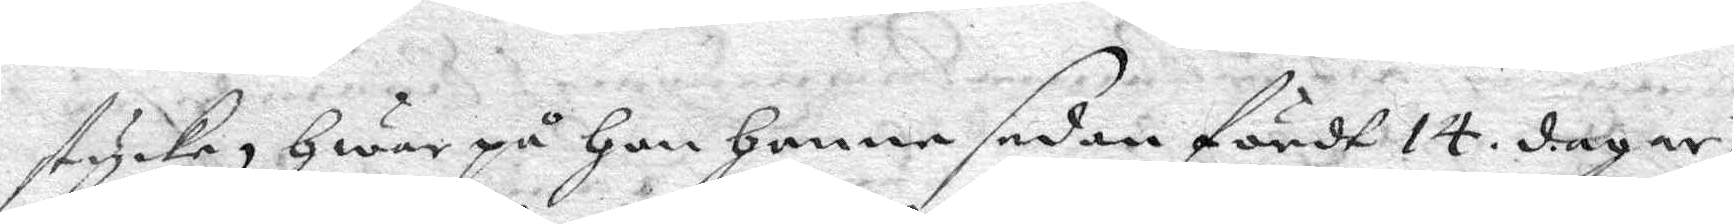stycke, Gwar på Hon Henne sedan fördt 14 dagar,
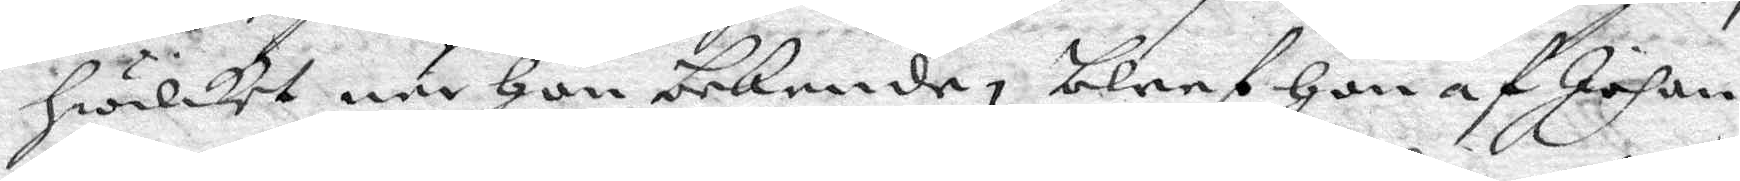hwilket när Hon bekende, bleef Hon af Johan
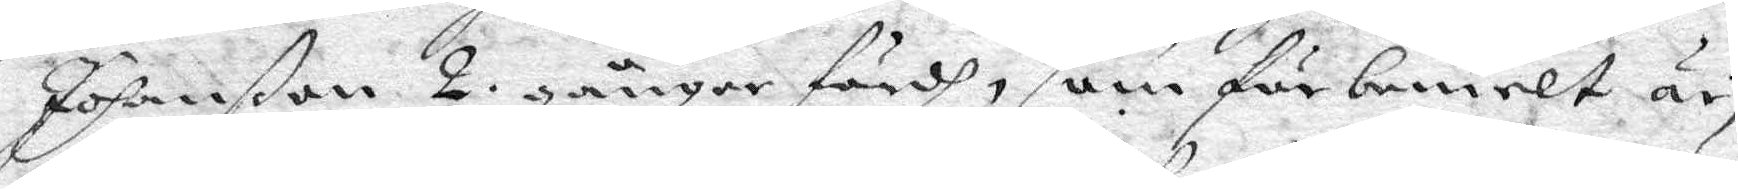Johanßon 2 gånger fördh, som förbemelt är,
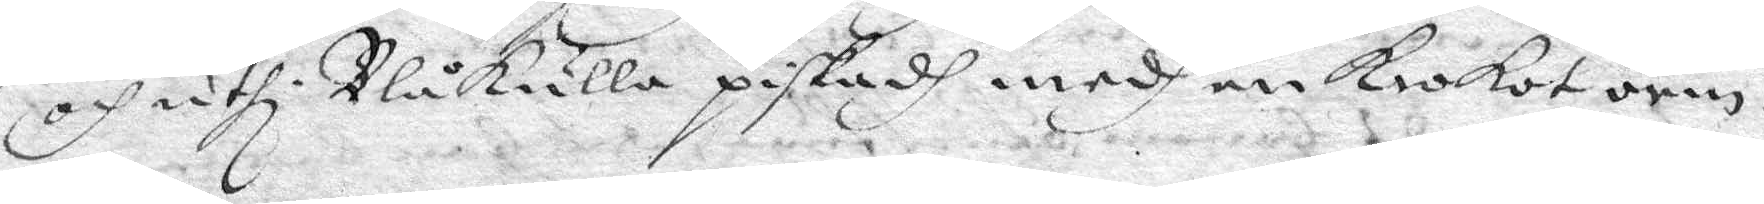och uthiBlåkulla piskadh medh en krokot orm.
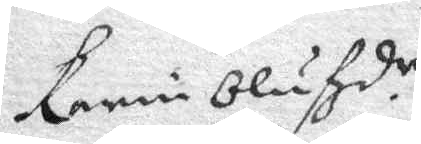Karin Olufzd.r
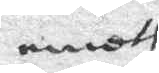emoth
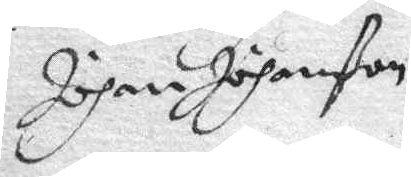Johan Johanßon
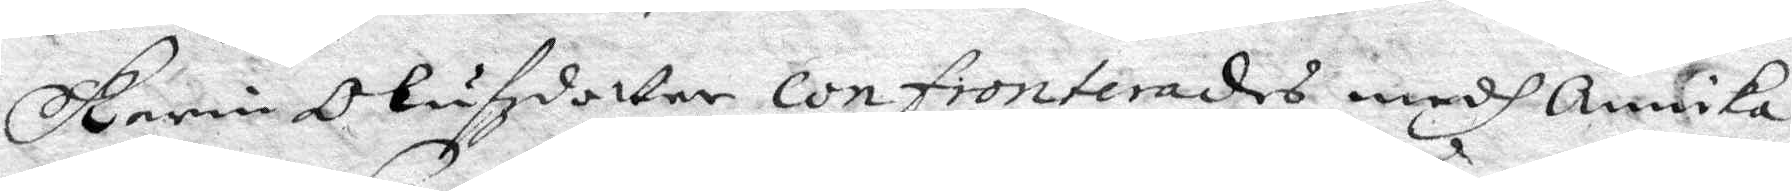Karin Olufzdotter confronterades medh Annika
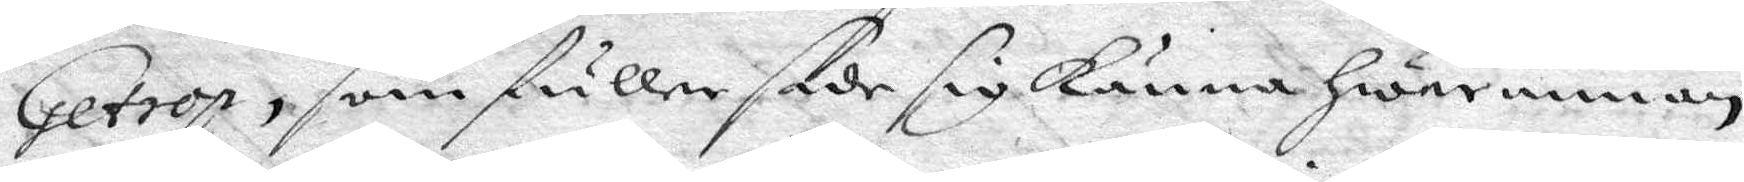Getrop, som fuller sade sig känna Hwarannan,
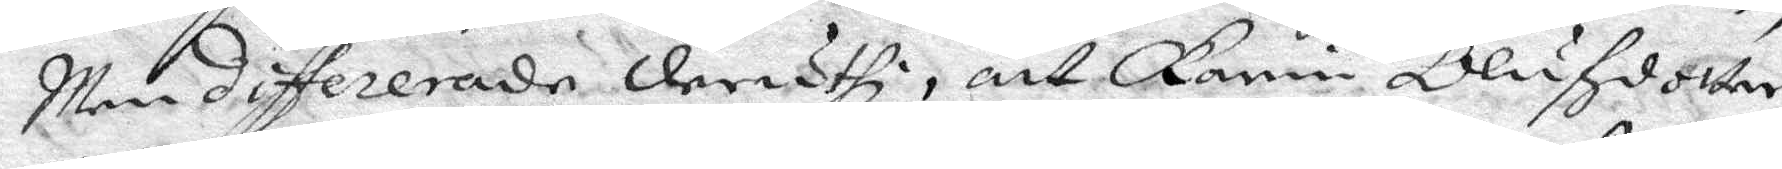Men differerade dheruthi, att Karin Olufzdotter
